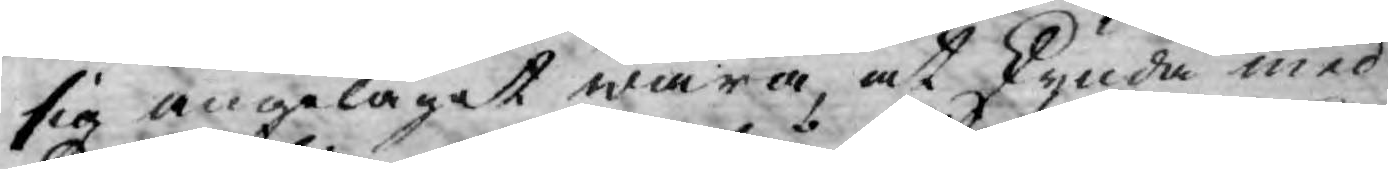sig angeläget wara, at skynda med
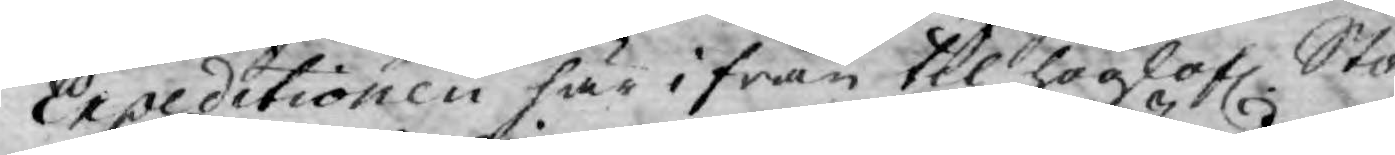Expeditionen här ifrån til höglofl. Sto¬
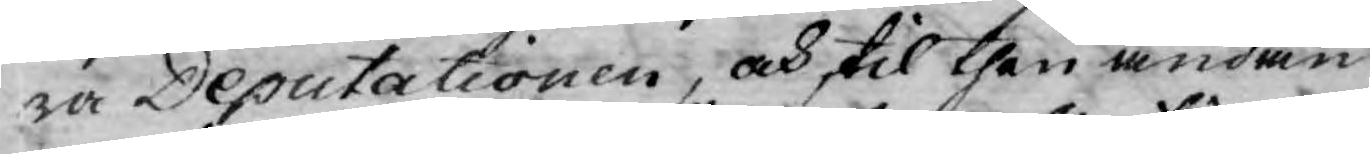ra Deputationen, och til then ändan
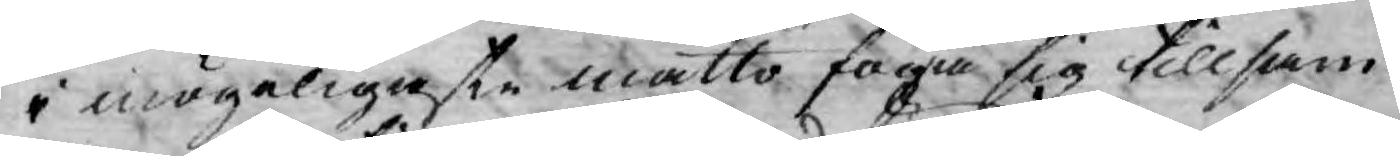i mögeligaste måtto foga sig tillsam¬
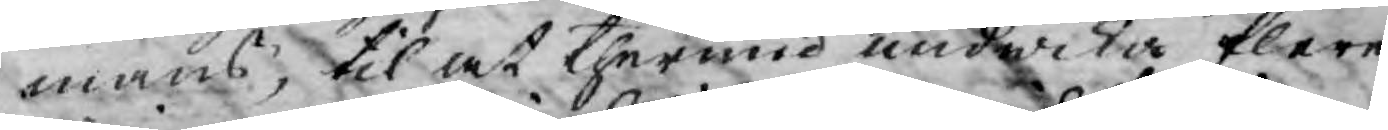mans, til at therwid undwika flere
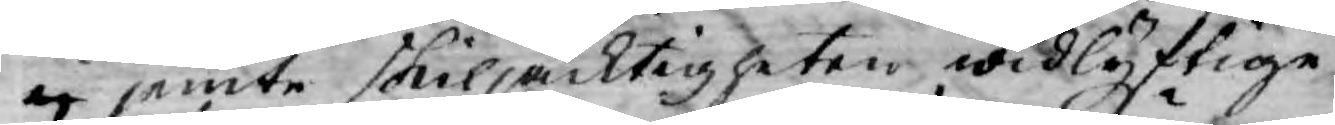ej jemte skiljacktigheten widlyftige
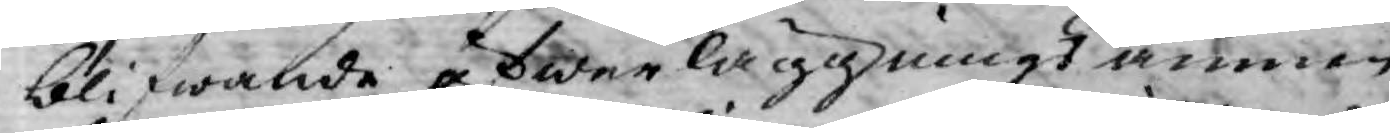blifwande öfwerläggnings ämnen
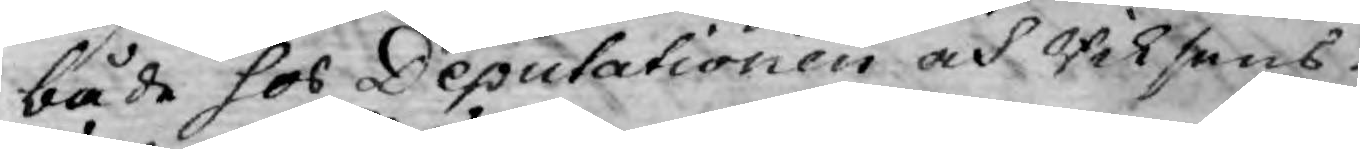både hos Deputationen och Riksens
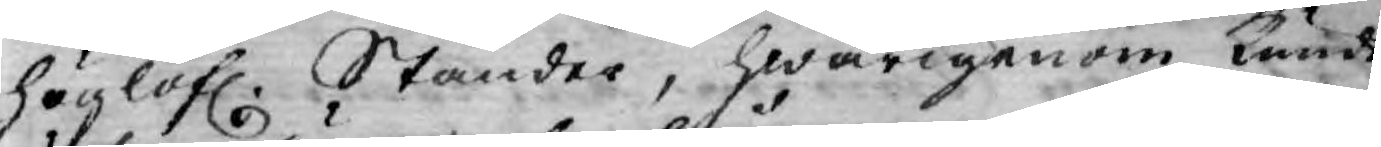höglofl. Ständer, hwarigenom kunde
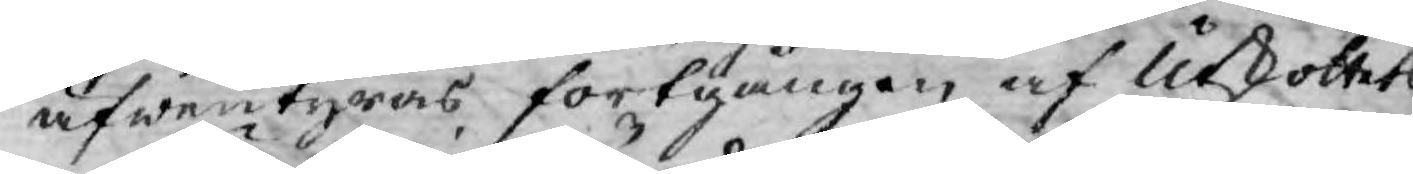äfwentyras fortgången af Utskottets
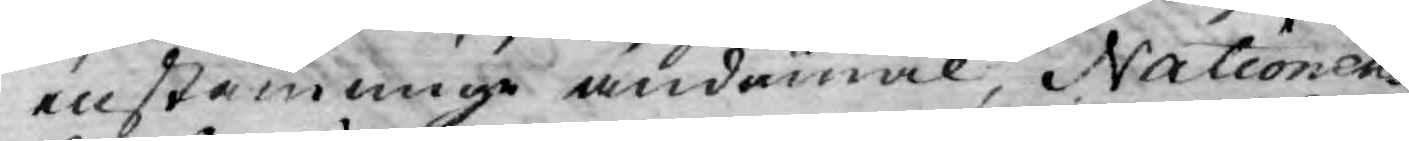enstämmige ändamål, Nationens
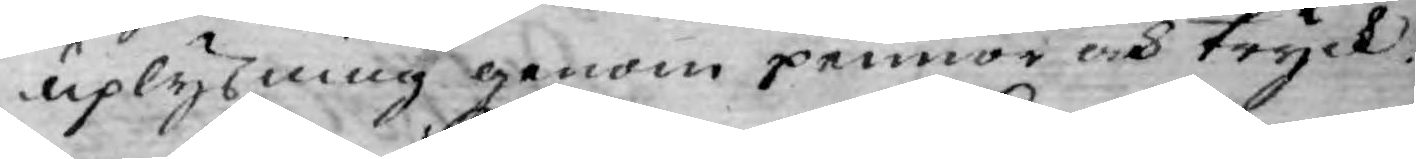uplysning genom pennor och tryck.
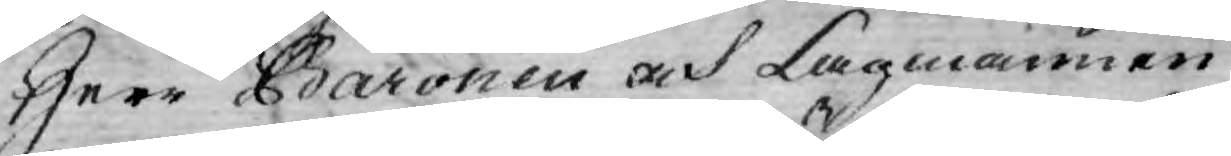Herr Baronen och Lagmannen
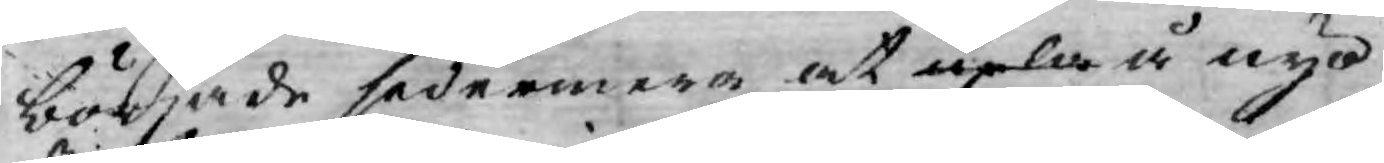började sedermera at upla å nyo
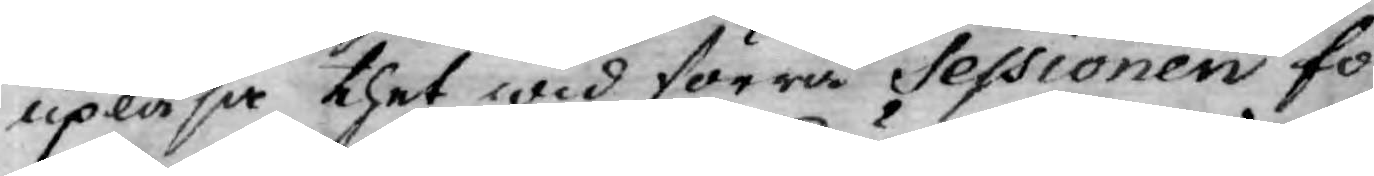upläsa thet wid förra Sessionen fö¬
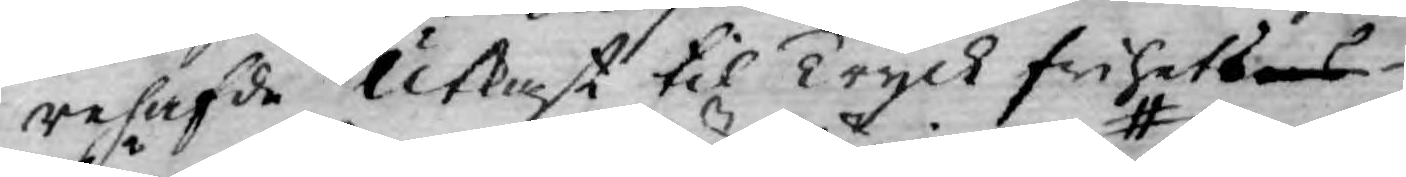rehafde Utkast til Tryckfrihetses
